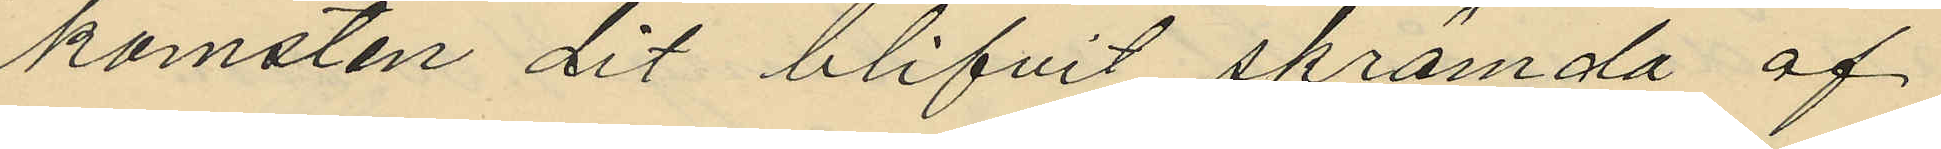komsten dit blifvit skrämda af
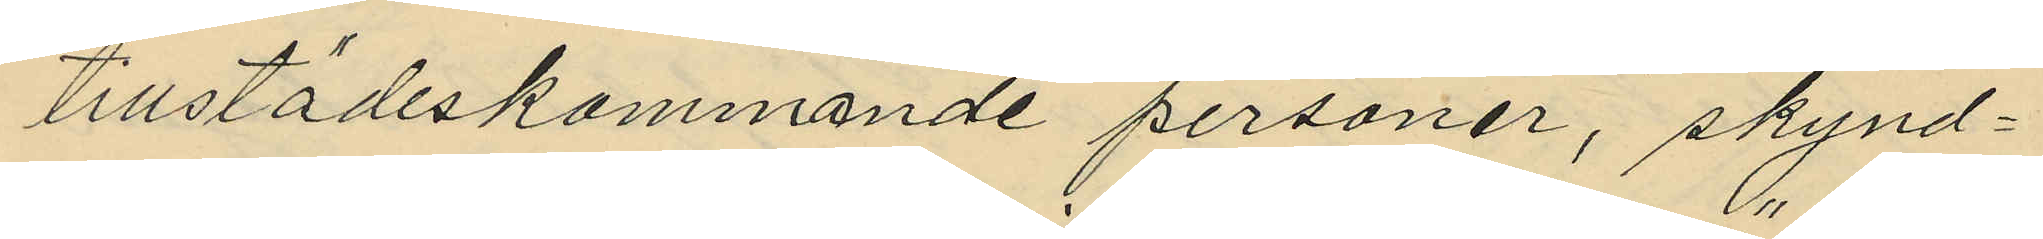tillstädeskommande personer, skynd¬
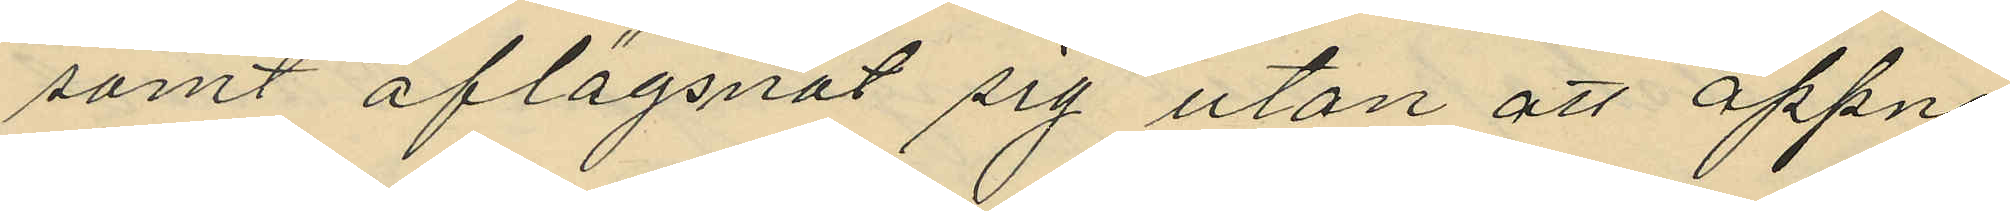samt aflägsnat sig utan att öppna
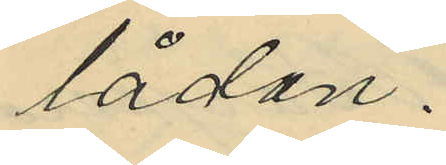lådan.
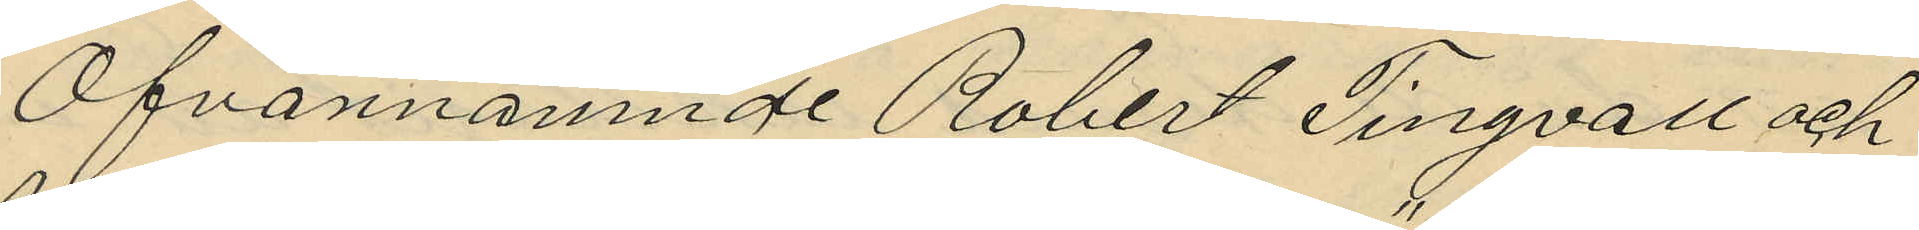Ofvannämnde Robert Singvall och
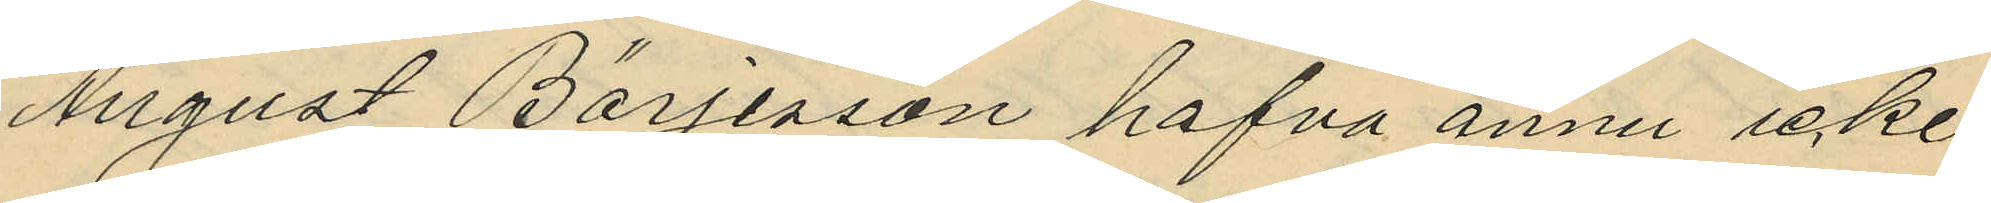August Börjesson hafva ännu icke
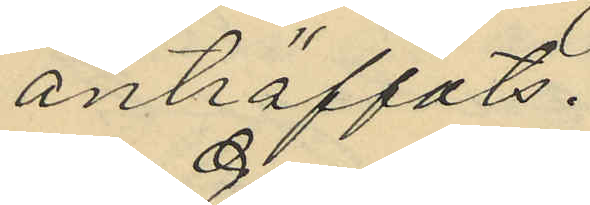anträffats.
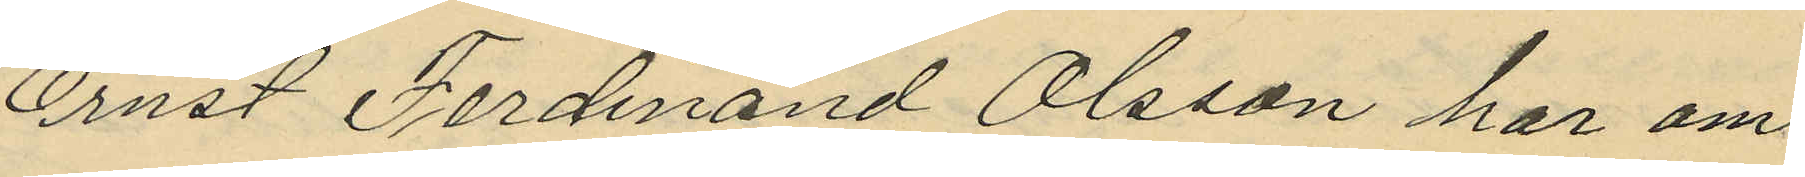Ernst Ferdinand Olsson har om
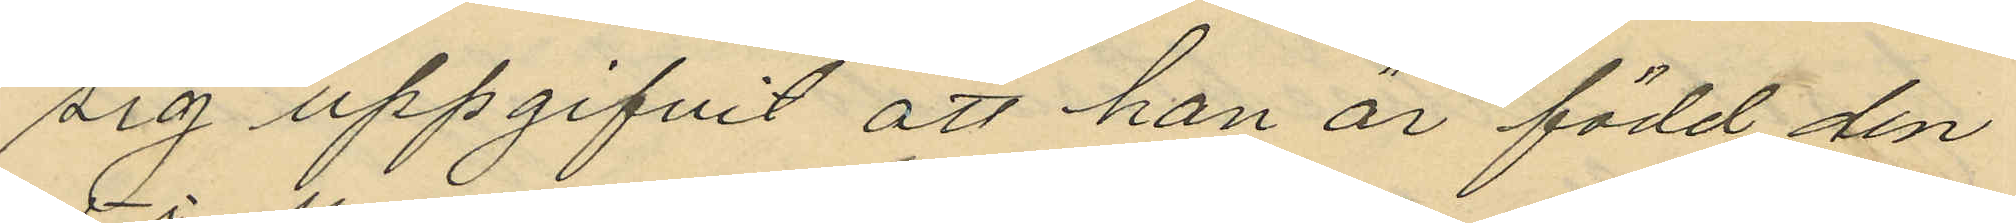sig uppgifvit att han är född den
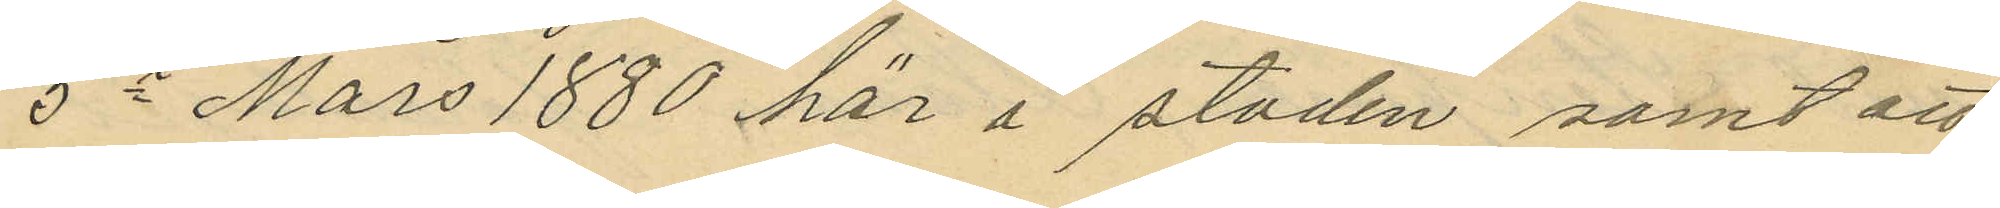5e Mars 1880 här i staden samt att
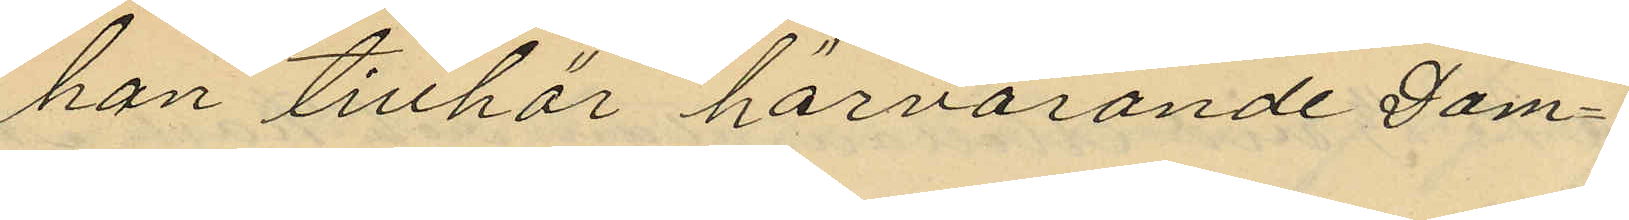han tillhör härvarande Dom¬
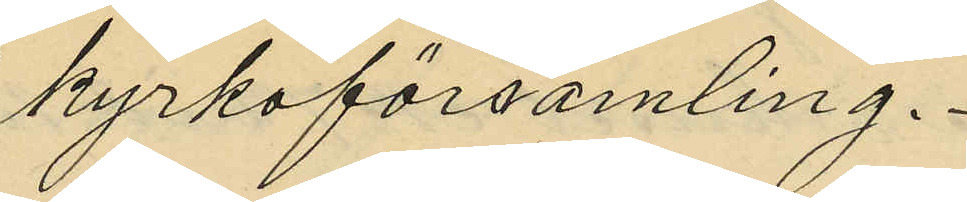kyrkoförsamling.
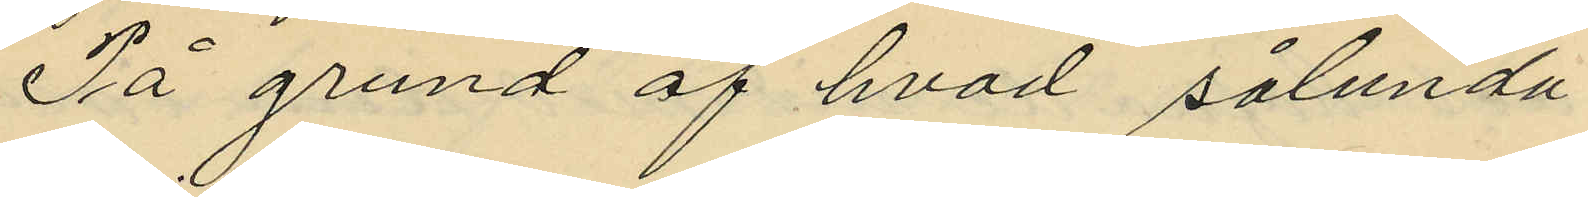På grund af hvad sålunda
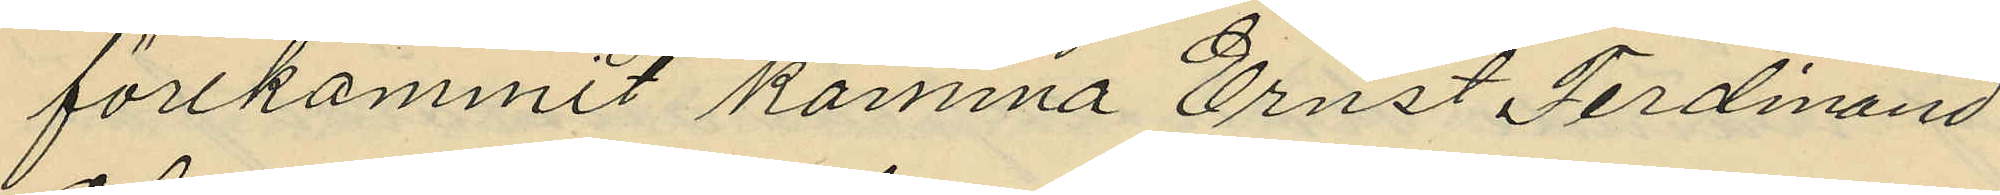förekommit komma Ernst Ferdinand
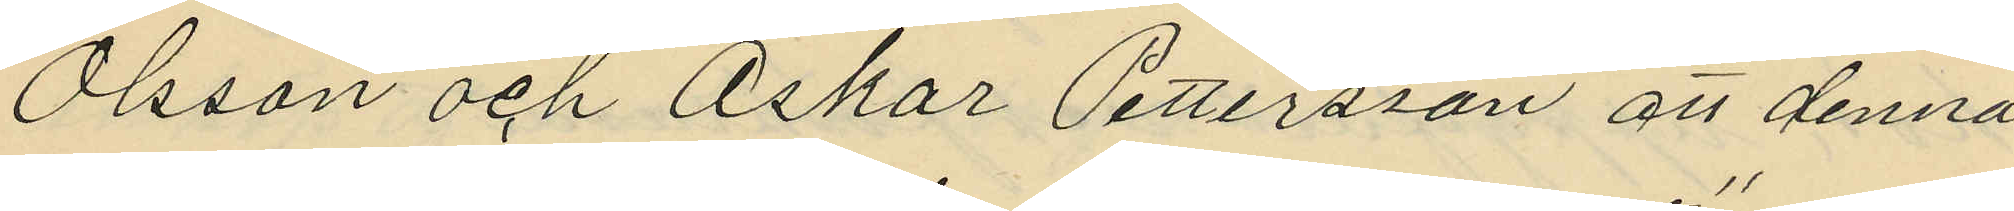Olsson och Oskar Pettersson att denna
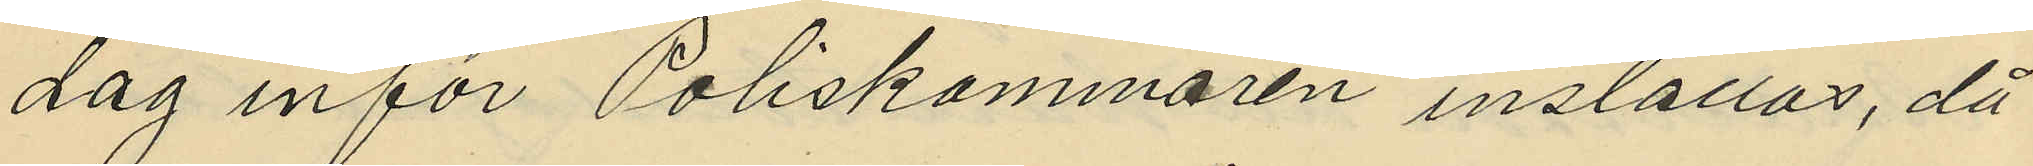dag inför Poliskammaren inställas, då
